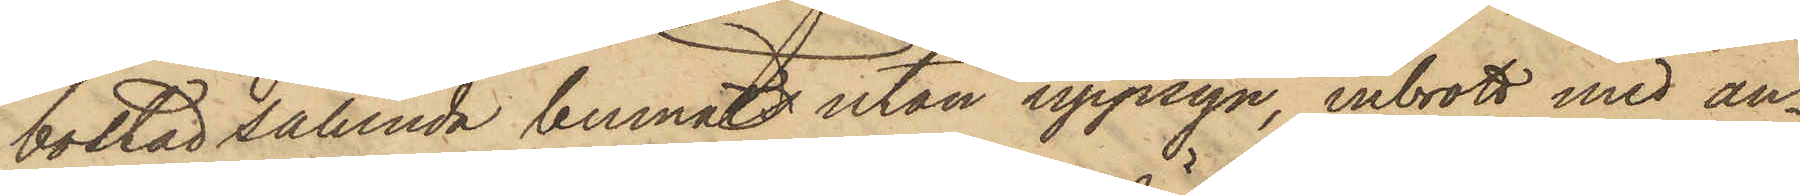bostad sålunda lemnats utan uppsyn, inbrott med an¬
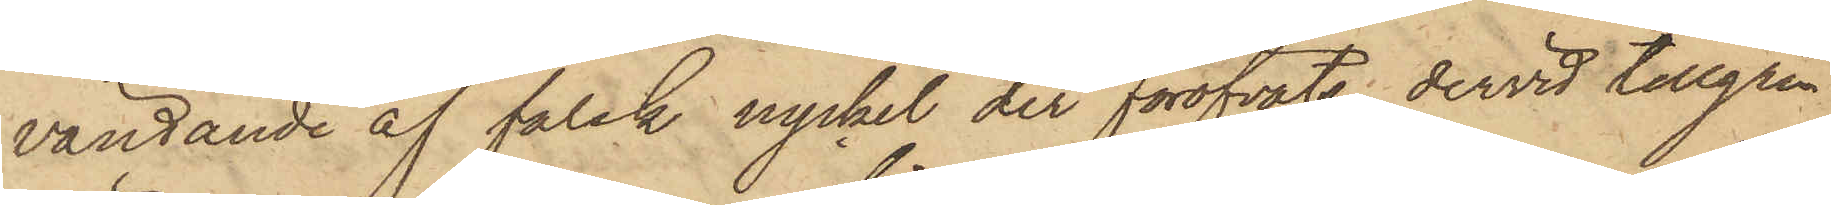vändande af falsk nyckel der föröfvats, dervid tillgri¬
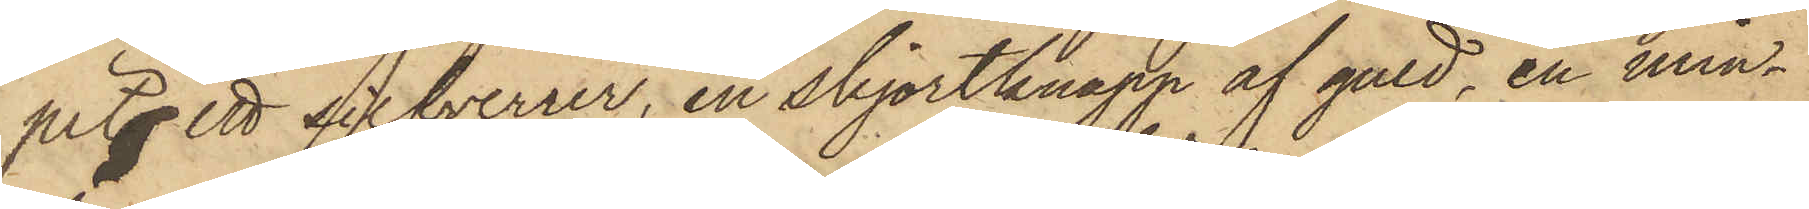pits ett silfverur, en skjortknapp af guld, en min¬
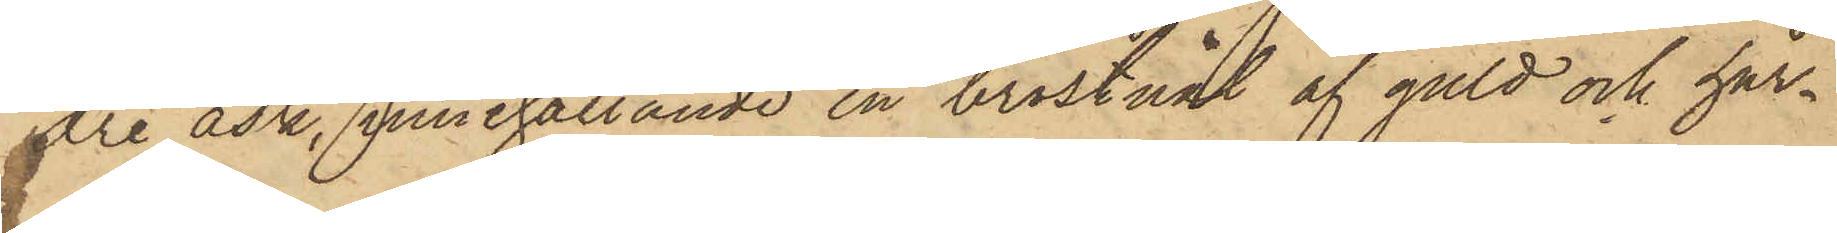dre ask, innehållande en bröstnål af guld och hår¬
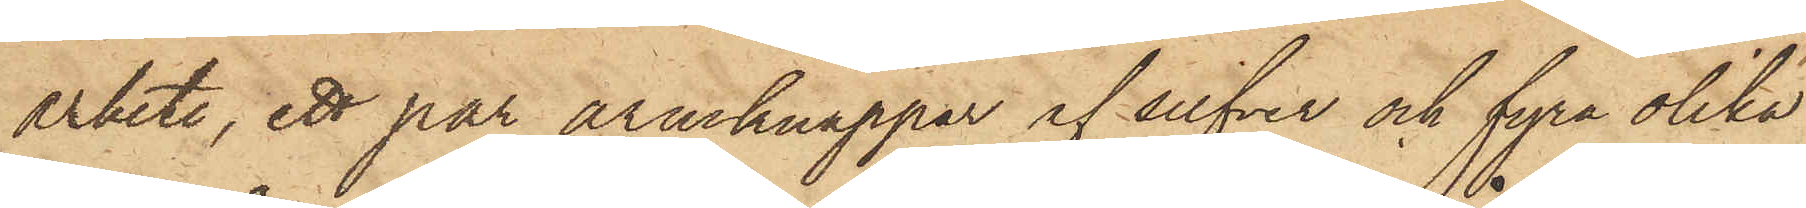arbete, ett par armknappar af silfver och fyra olika
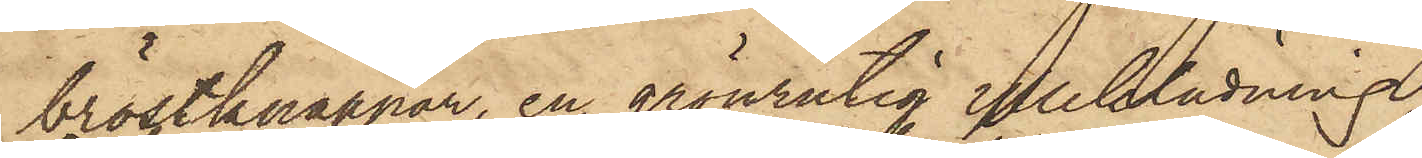bröstknappar, en grönrutig ylleklädning
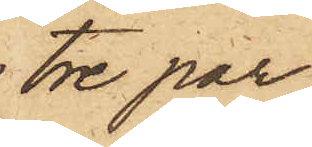tre par
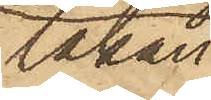lakan,
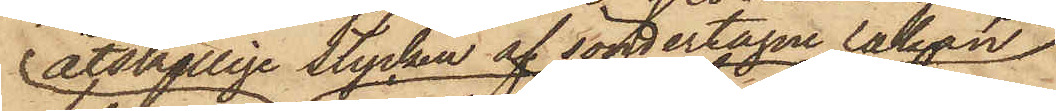åtskillige stycken af söndertagne lakan
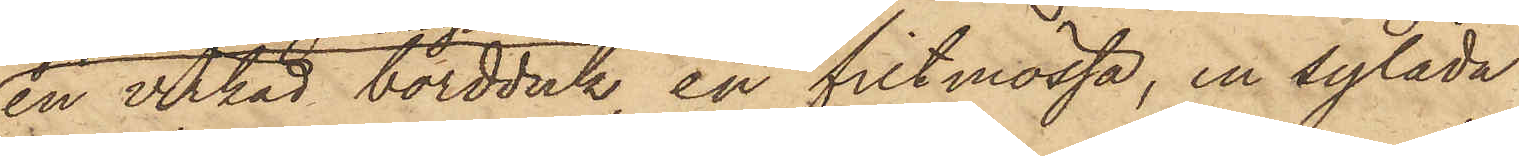en virkad bordduk, en filtmössa, en sylåda
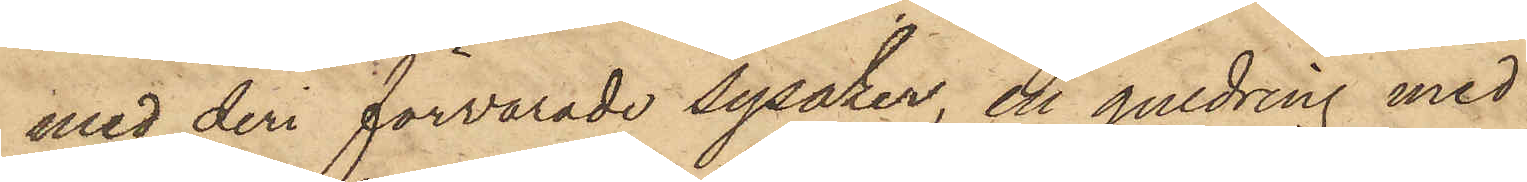med deri förvarade sysaker, en guldring med
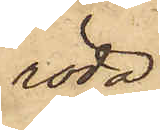röda
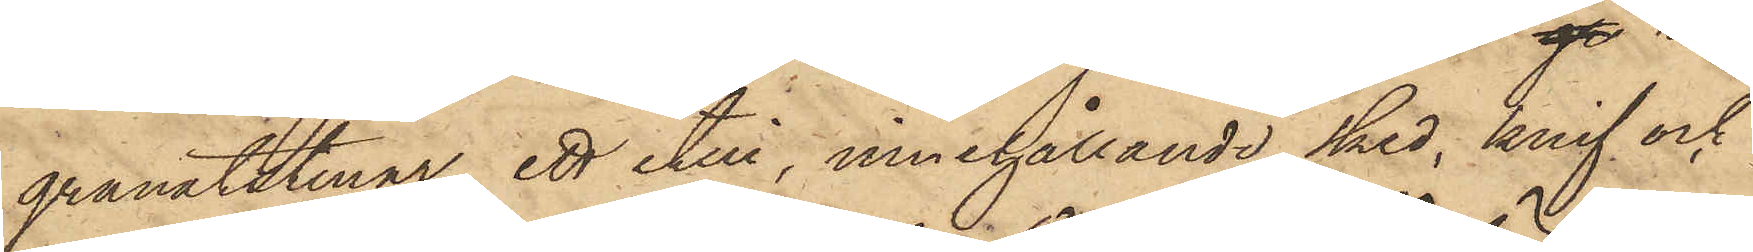granatstenar, ett etui, innehållande sked, knif och
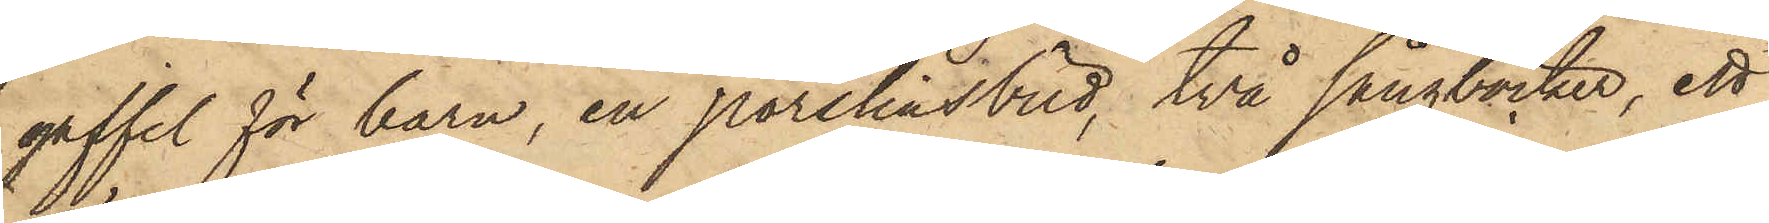gaffel för barn, en porslinsbild, två sångböcker, ett
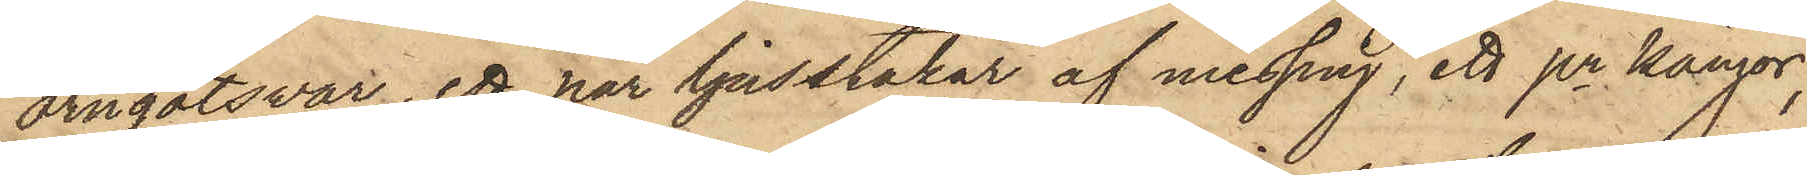örngotsvar, ett par ljusstakar af messing, ett pr kängor,
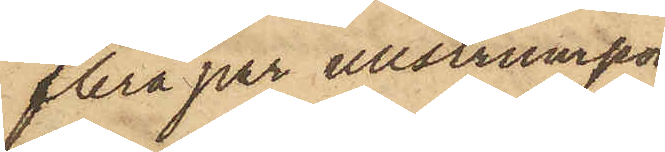flera par ullstrumpor,
